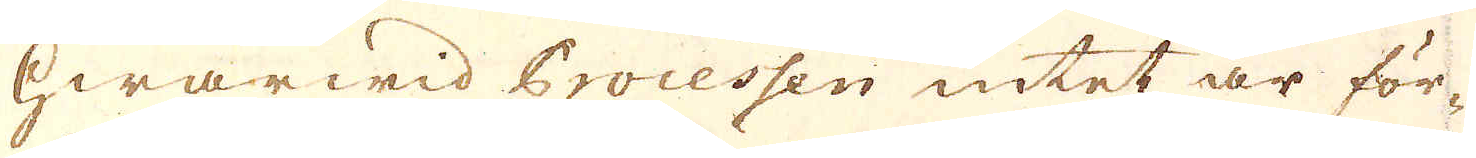hwarwid Processen intet är för-
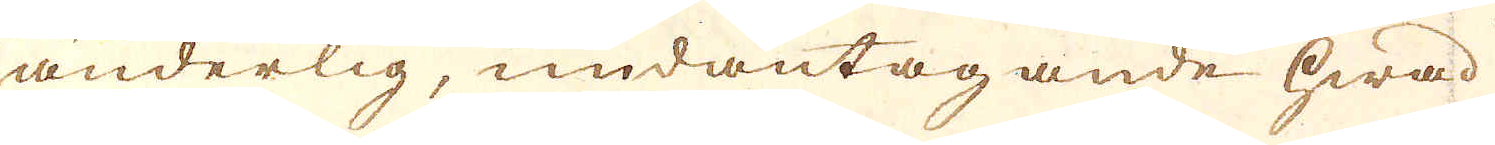änderlig, undantagande hwad
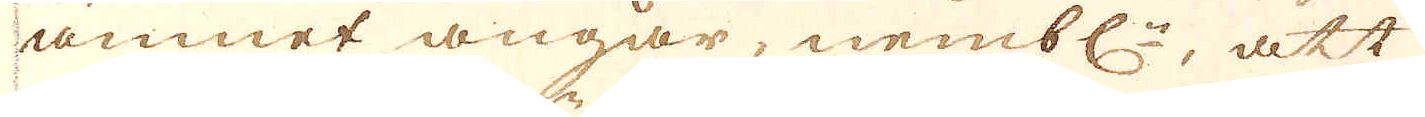ämnet angår, nembl:n, att
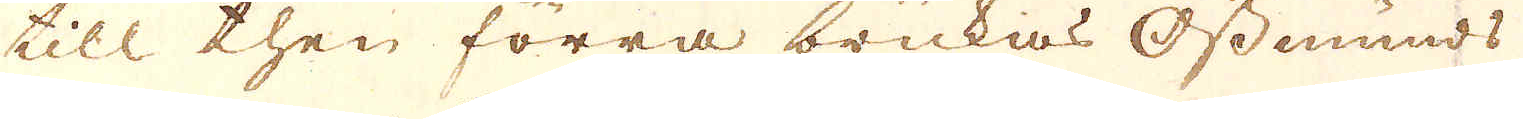till then förra brukas Ossunds
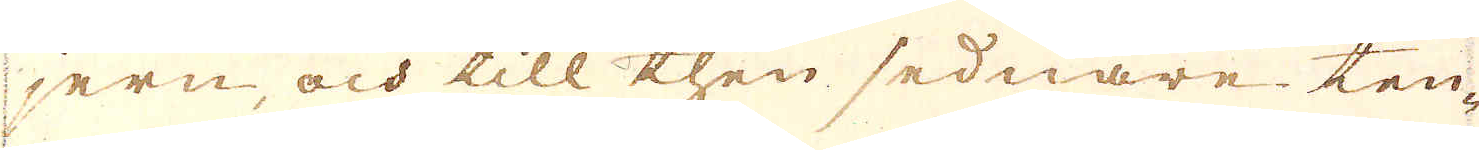jern, och till then sednare ten-
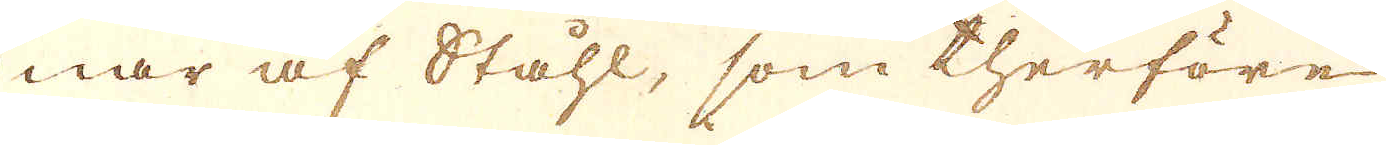nar af Ståhl, som therföre
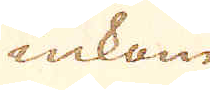inkom
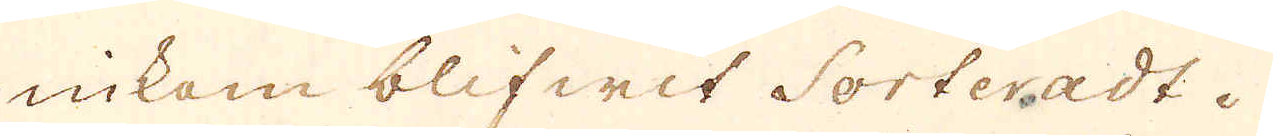inkom blifwit Sorteradt.
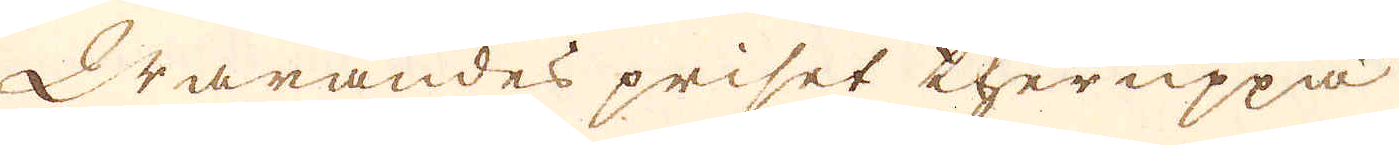Warandes priset theruppå
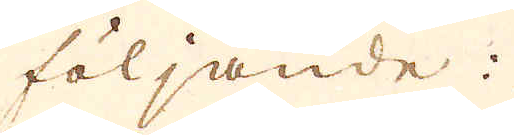följande:
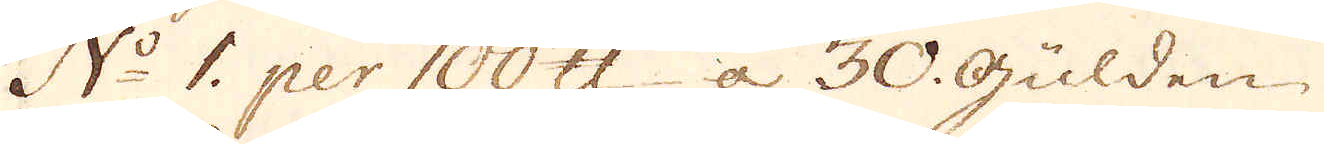N:o 1. per 100 skålpund a 30. Gulden.
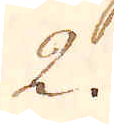2.
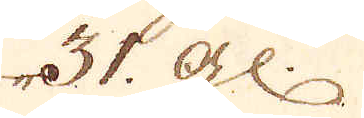31. gl:
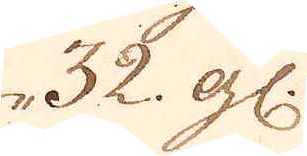32 gl:
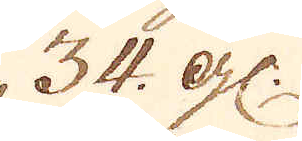34. gl:
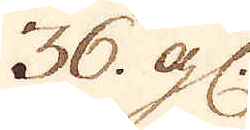36 gl:
